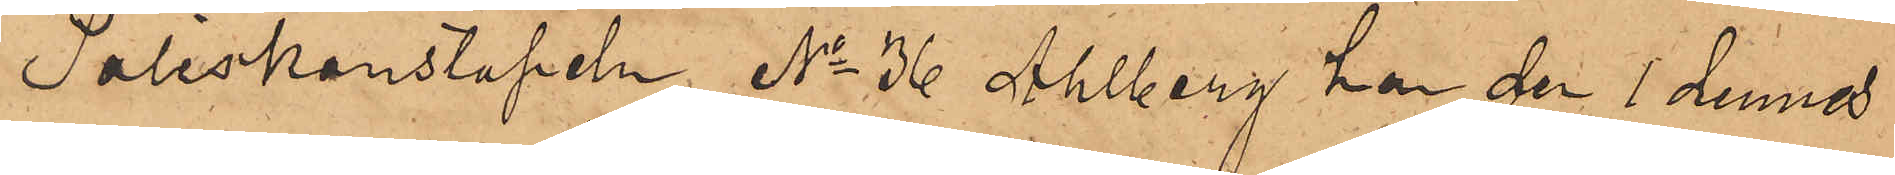Poliskonstapeln No 36 Ahlberg har den 1 dennes
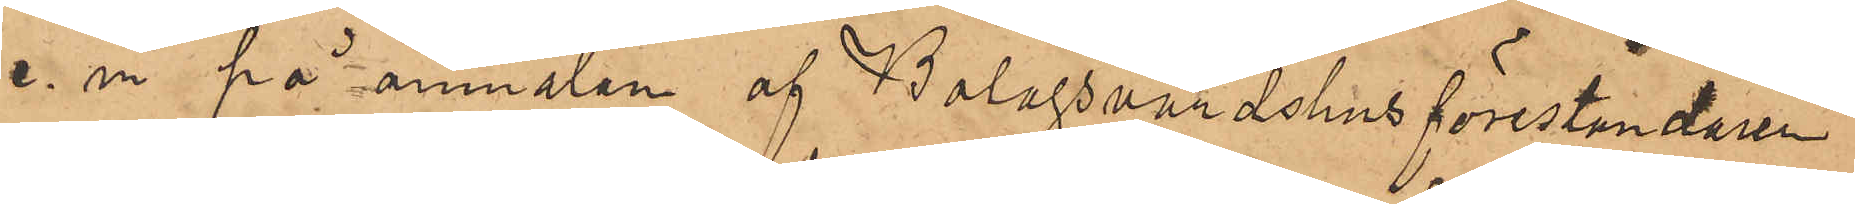e. m. på anmälan af Bolagsvärdshusföreståndaren
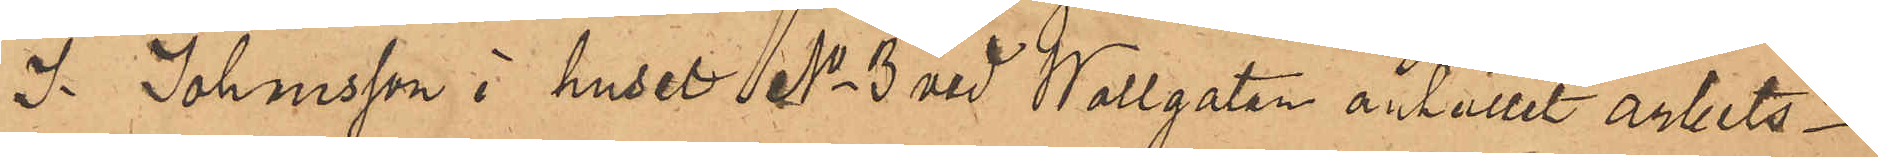J. Johansson i huset No 3 vid Wallgatan anhållit arbets¬
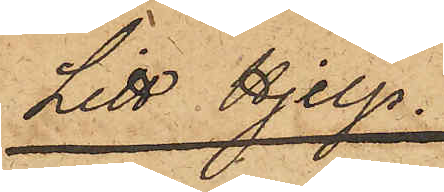Litt Hjelp.
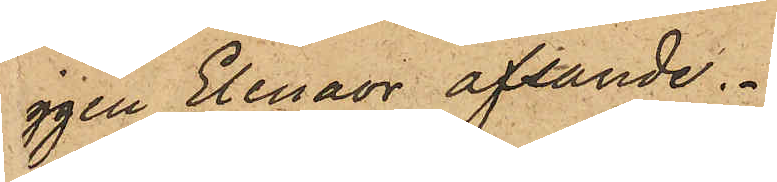ggen Elenaor afsände.
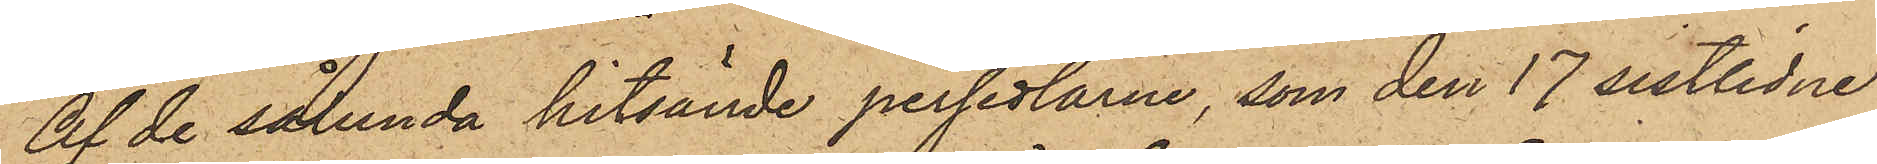Af de sålunda hitsände persedlarne, som den 17 sistlidne
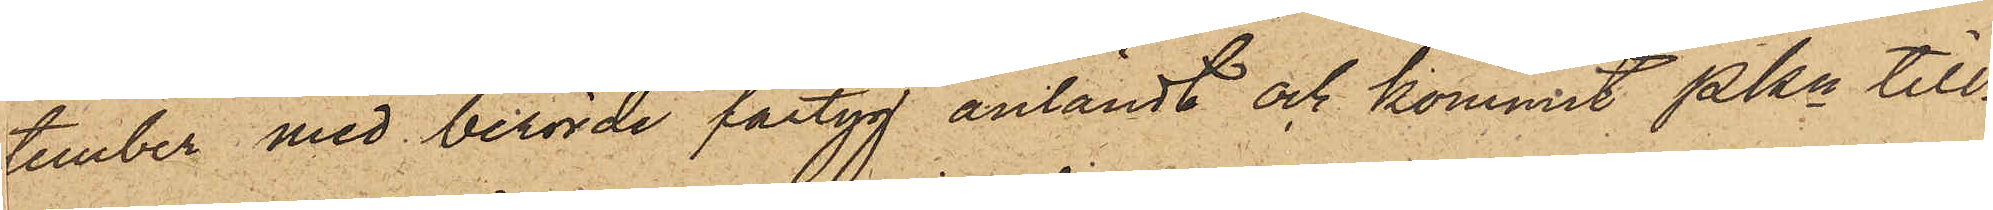tember med berörde fartyg anländt och kommit Pkn till¬
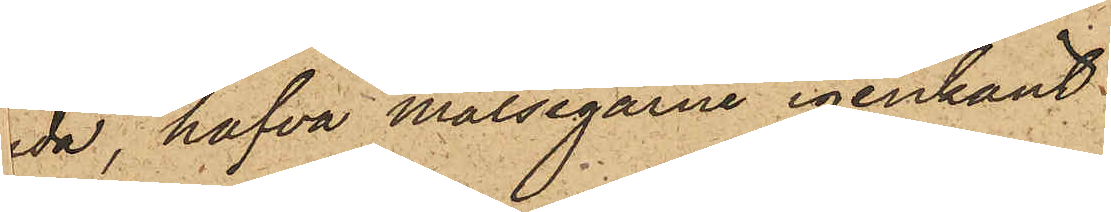da, hafva målsegarne igenkänt:
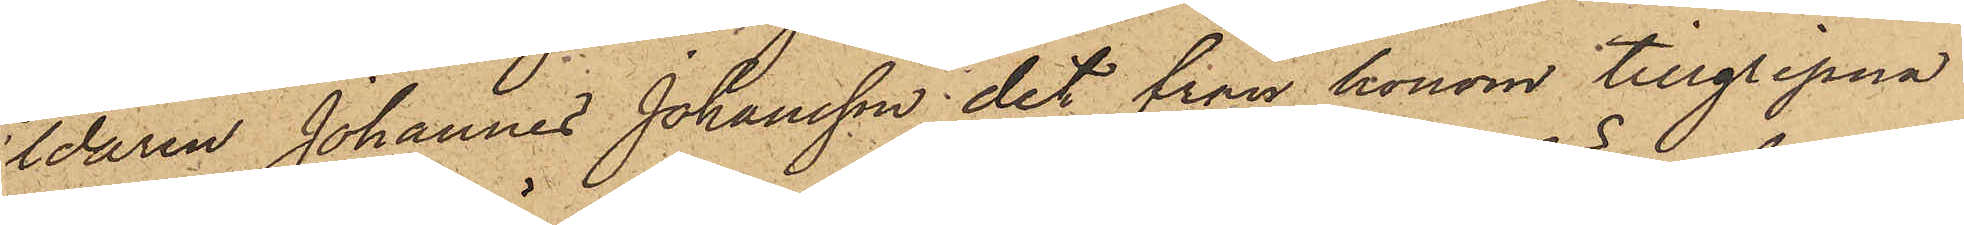ldaren Johannes Johansson det från honom tillgripna
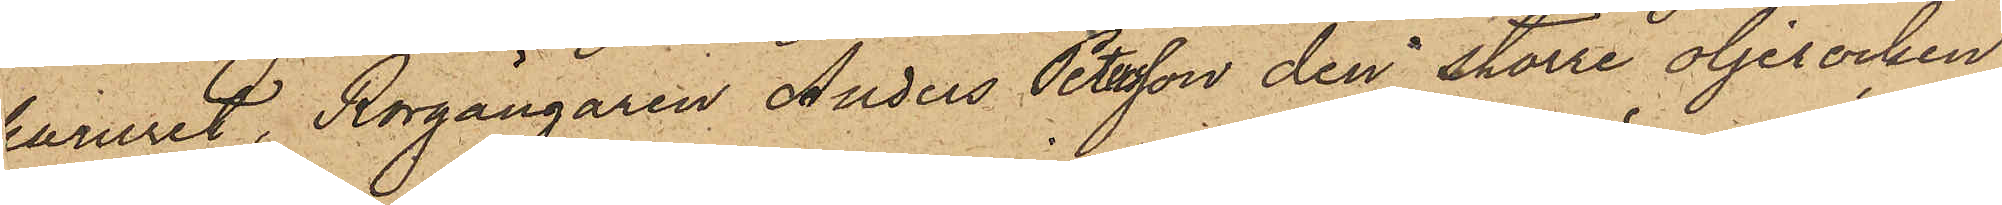karuret, Rorgängaren Anders Petersson den större oljerocken,
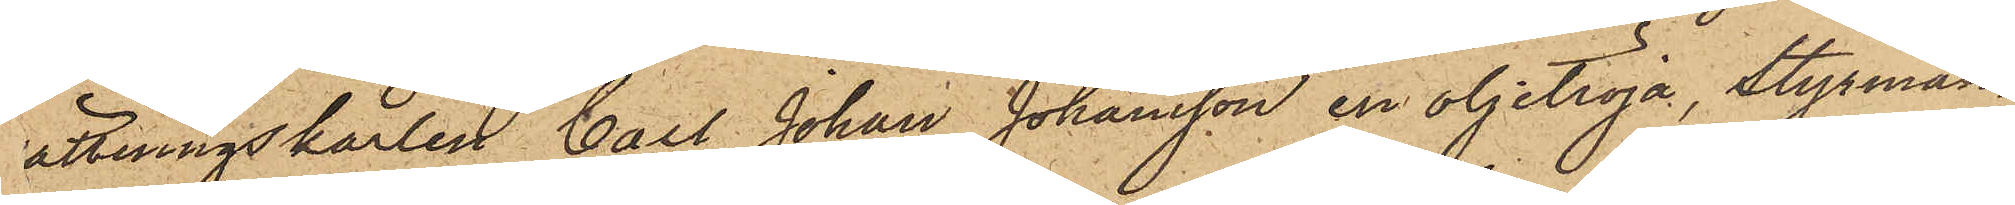ättningskarlen Carl Johan Johansson en oljetröja, Styrman¬
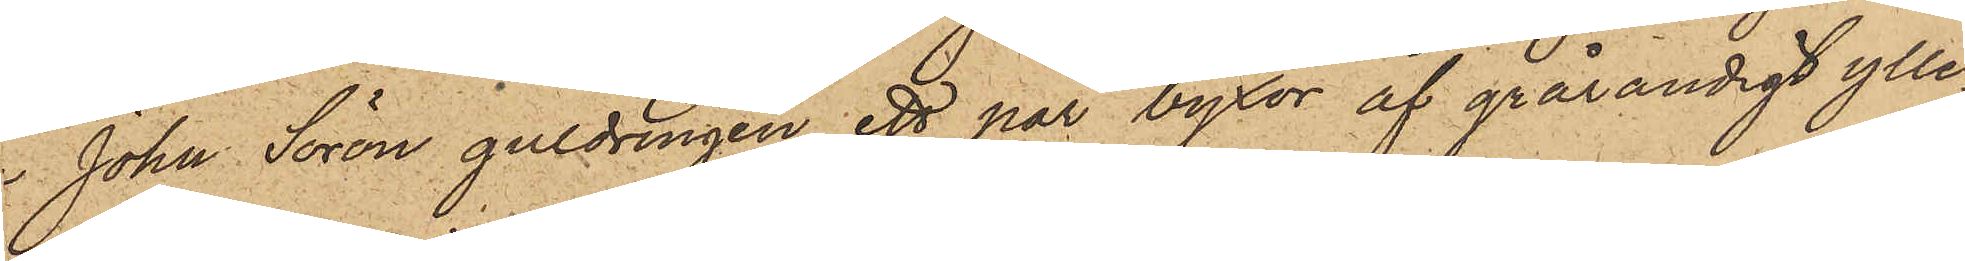John Sorön guldringen, ett par byxor af grårandigt ylle¬
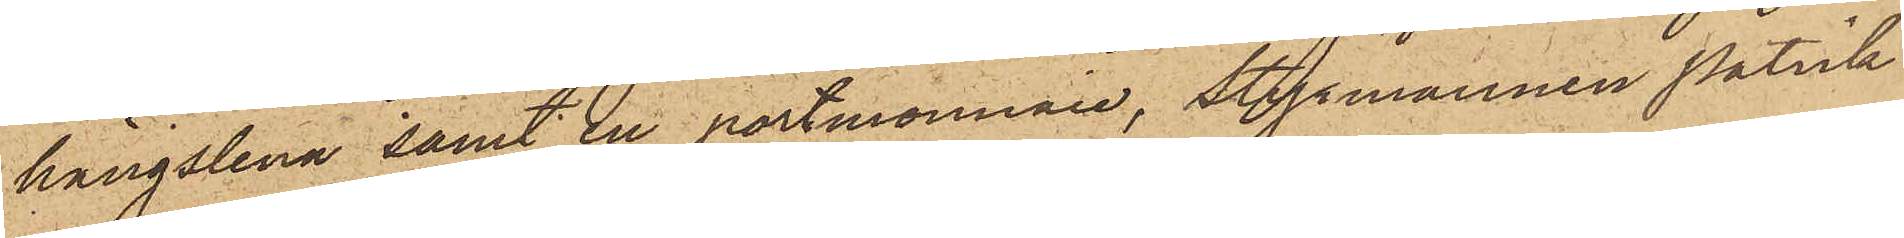, hängslena samt en portmonnaie, Styrmannen Patrik
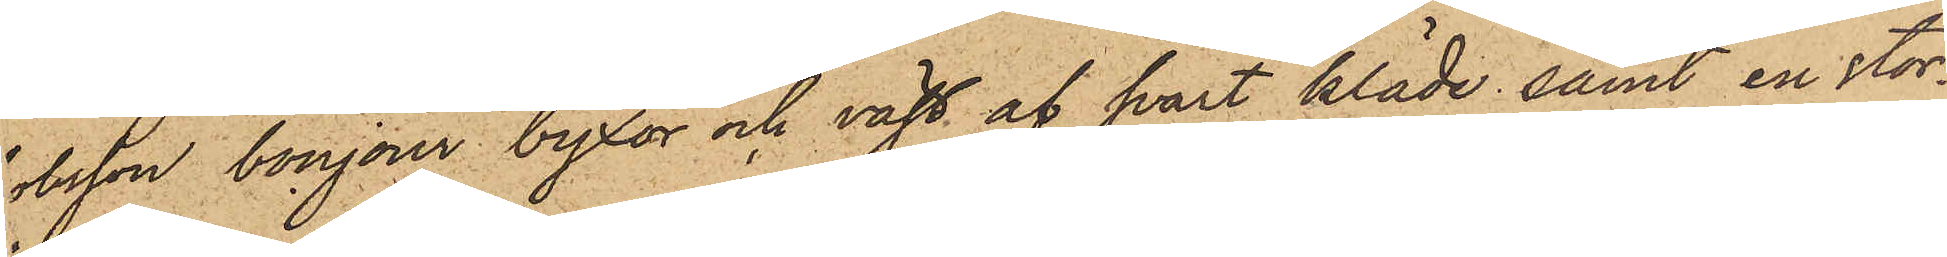obsson bonjour byxor och väst af svart kläde samt en stor¬
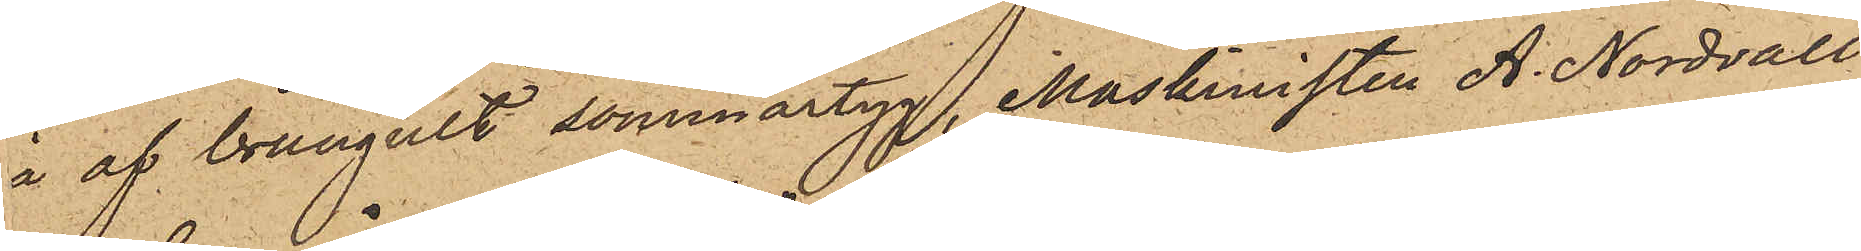a af brungult sommartyg, Maskinisten A. Nordvall
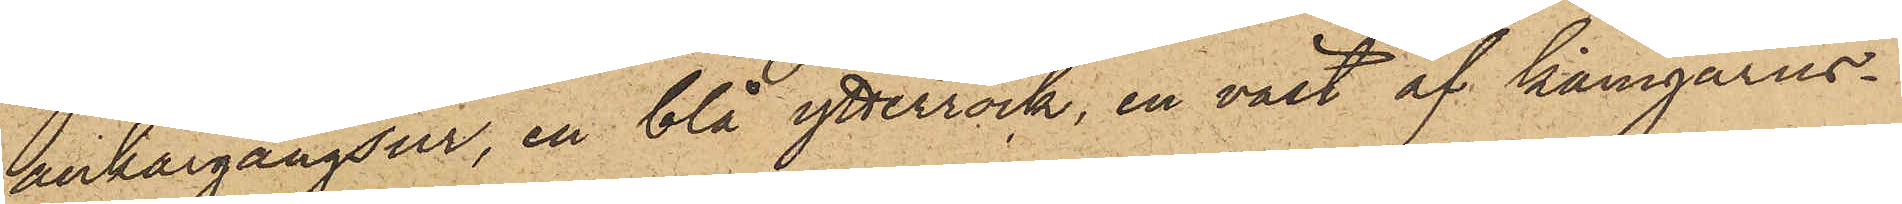ankargångsur, en blå ytterrock, en väst af kamgarns¬
